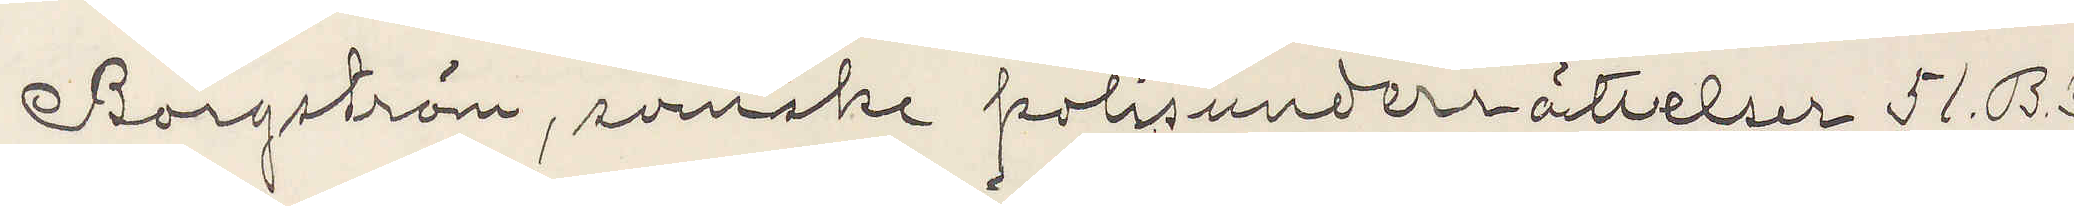Borgström svenske polisunderrättelser 51. B.3
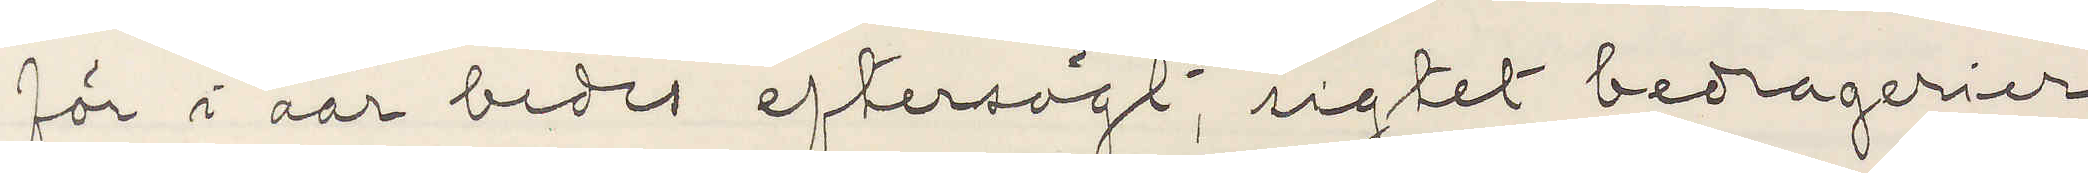för i aar bedes eftersögt, sigtet bedragerier
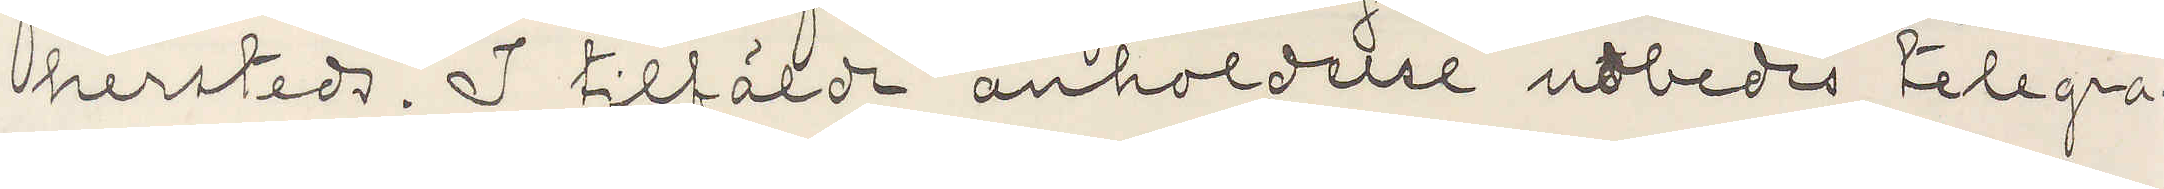hersteds. I tilfälde anholdelse udbedes telegra¬
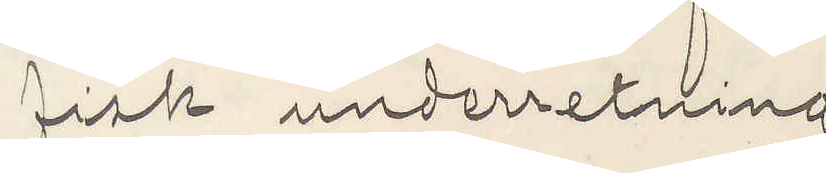fisk underretning
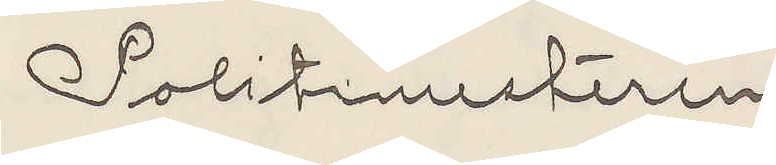Politimesteren
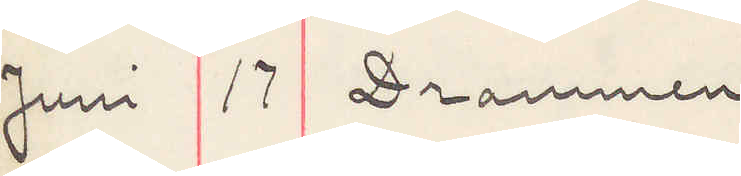Juni 17 Drammen
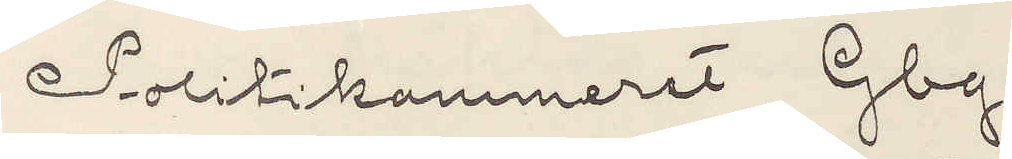Politikammeret, Gbg.
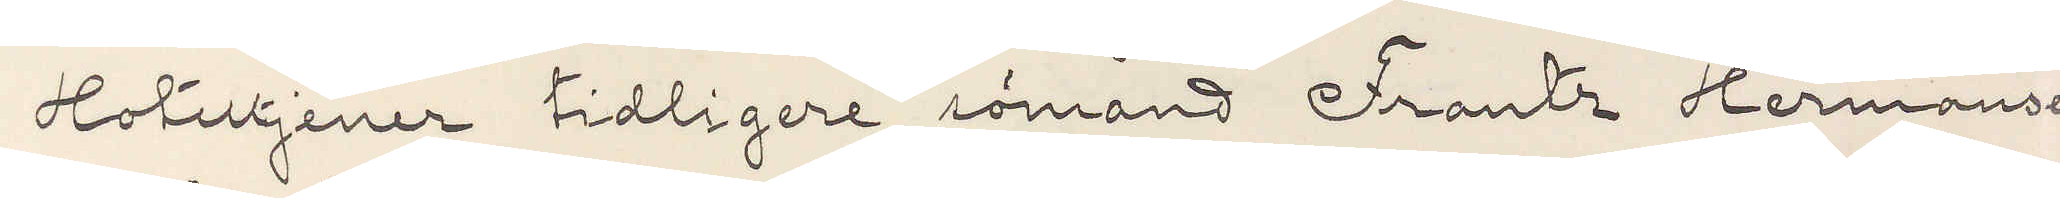Hoteltjener tidligere sömand Frantz Hermansen
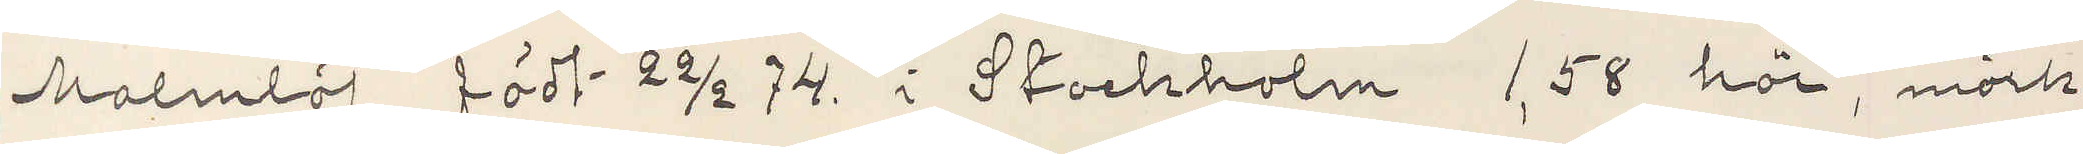Malmlöf, födt 22/2 74. i Stockholm 1,58 höi, mörk,
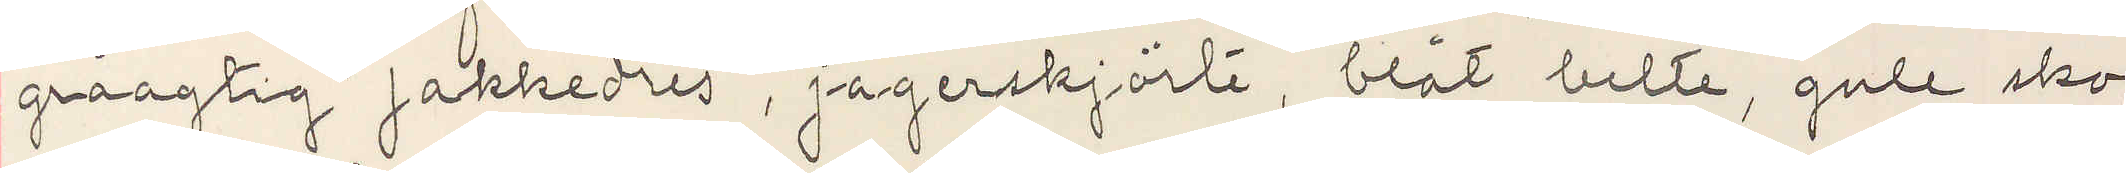gråaktig jakkedres, jägerskjörte, blåt belte, gule sko
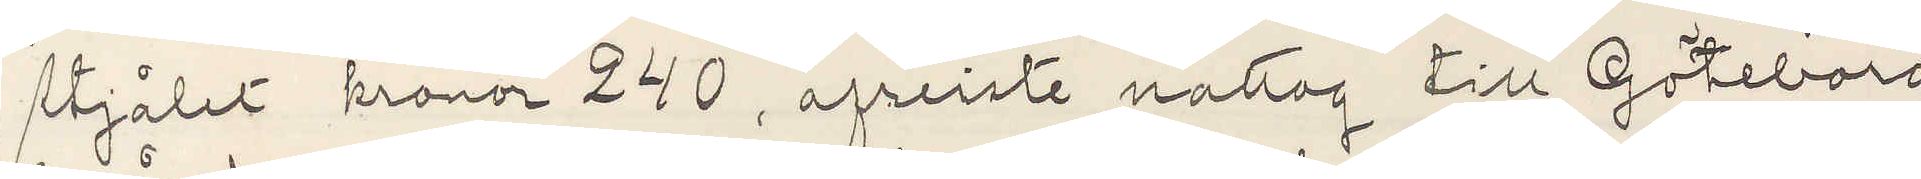stjålet kronor 240, afreiste nattog till Göteborg.
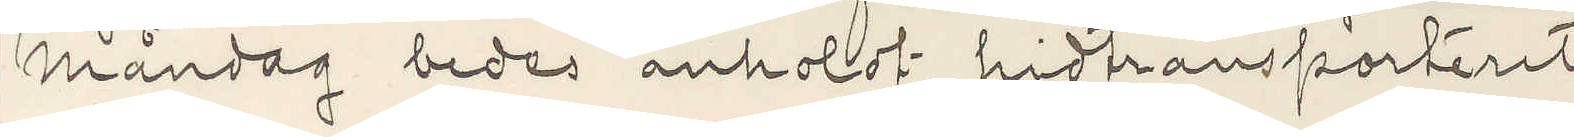Måndag bedes anholdt hidtransporteret
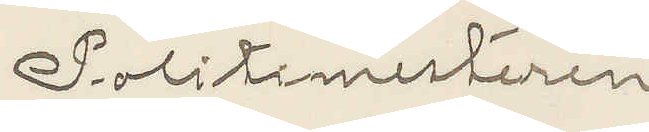Politimesteren
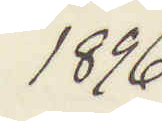1896
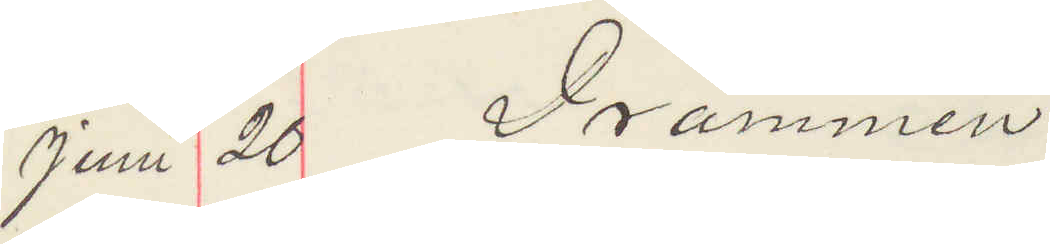Juni 20 Drammen
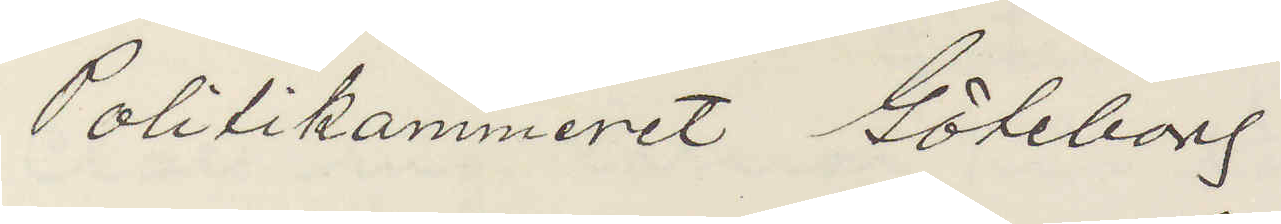Politikammeret Göteborg.
